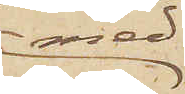med
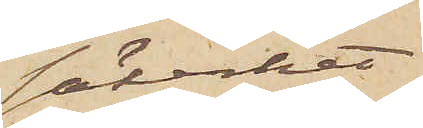säkerhet
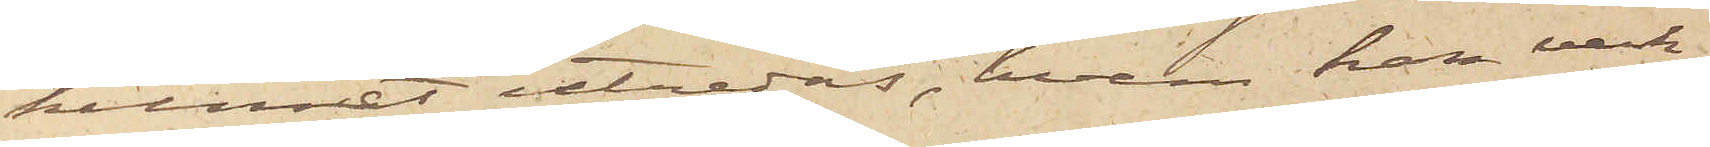kunnat utredas, hvem han verk¬
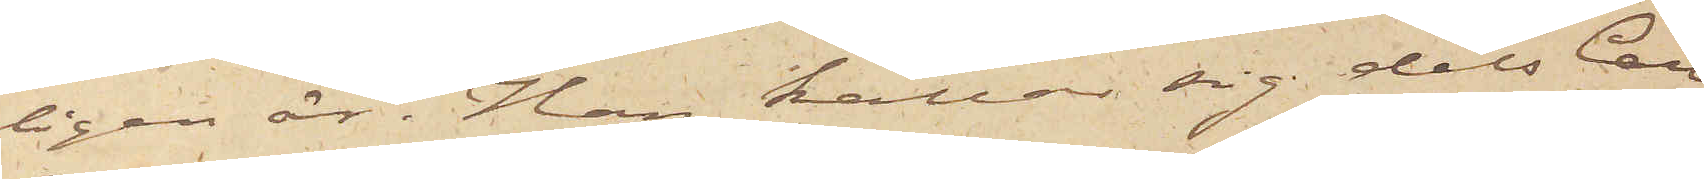ligen är. Han kallar sig dels Carl
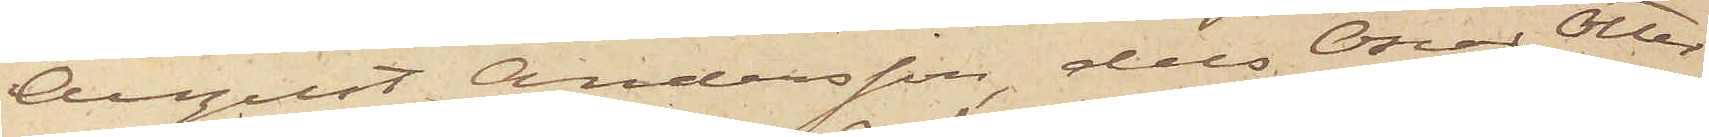August Andersson, dels Oscar Otter¬
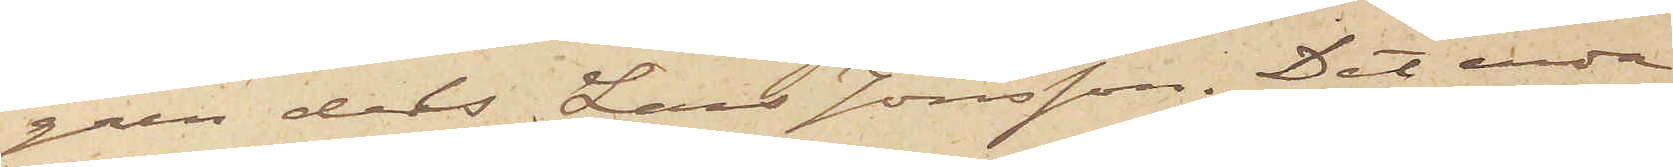gren dels Lars Jönsson. Det enda
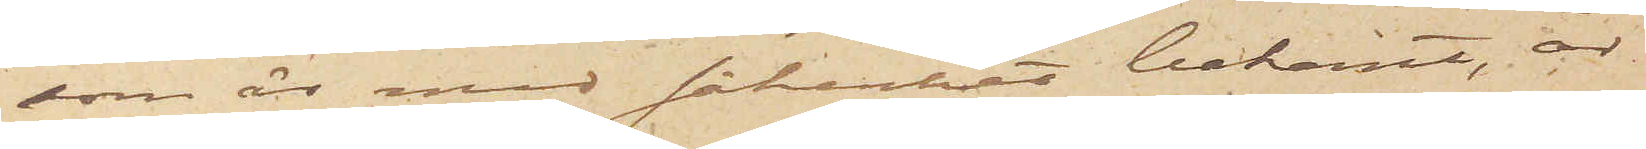som är med säkerhet bekant, är
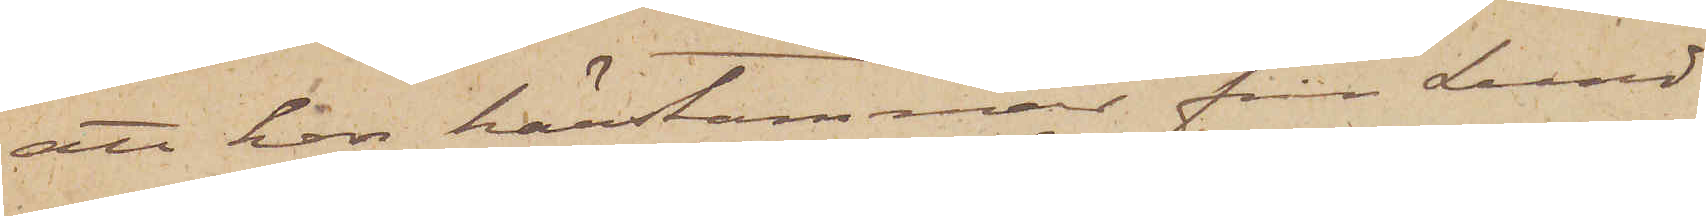att han härstämmar från Lund
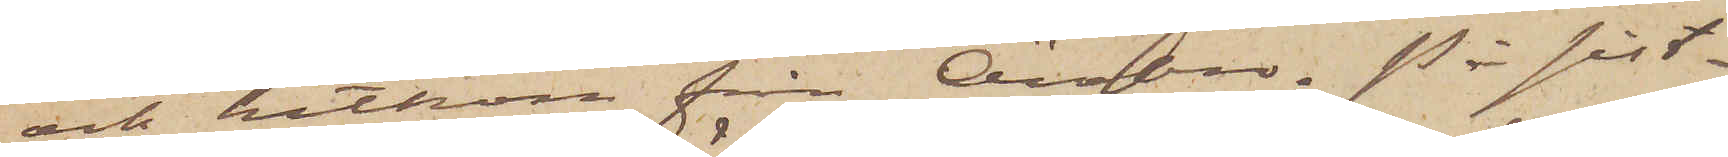och hitkom från Örebro. På sist¬
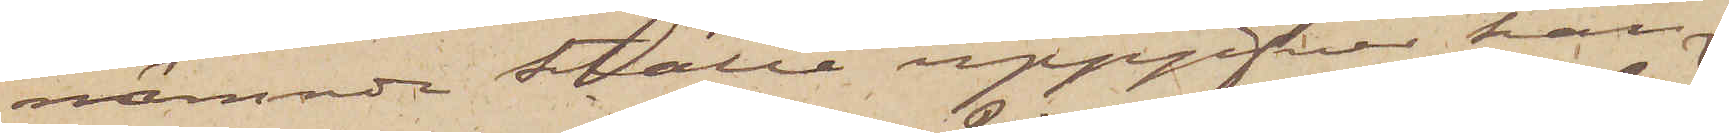nämnde Ställe uppgifver han
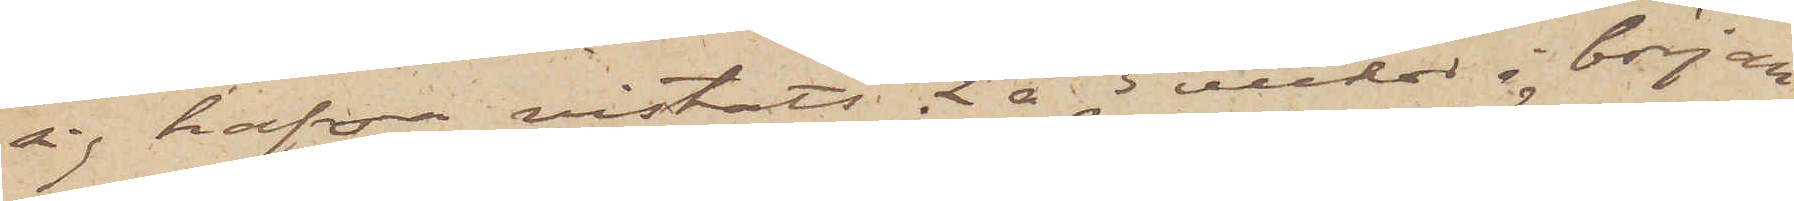sig hafva vistats 2 à 3 veckor i början
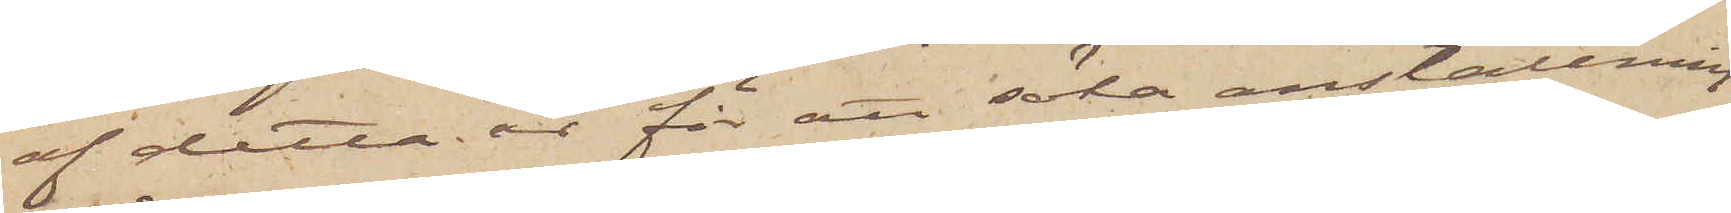af detta år för att söka anställning
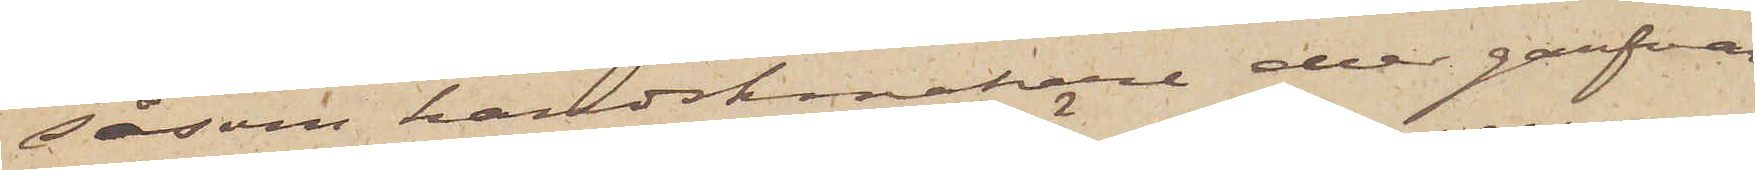såsom handskmakare eller garfvare.
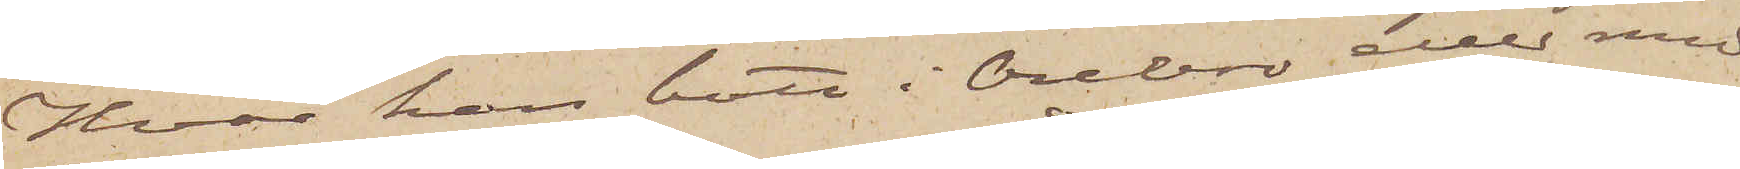Hvar han bott i Örebro eller med
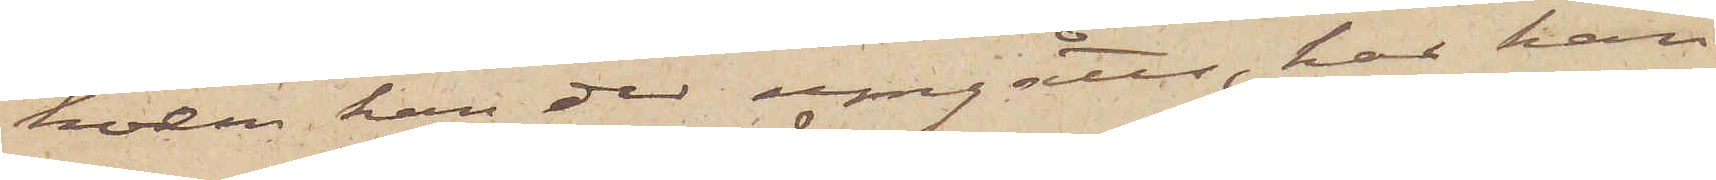hvem han der umgåtts, har han
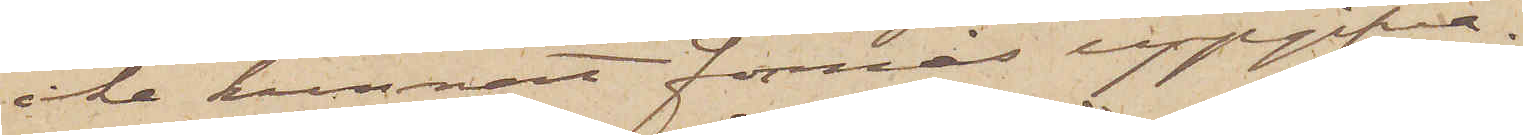icke kunnat förmås uppgifva.
